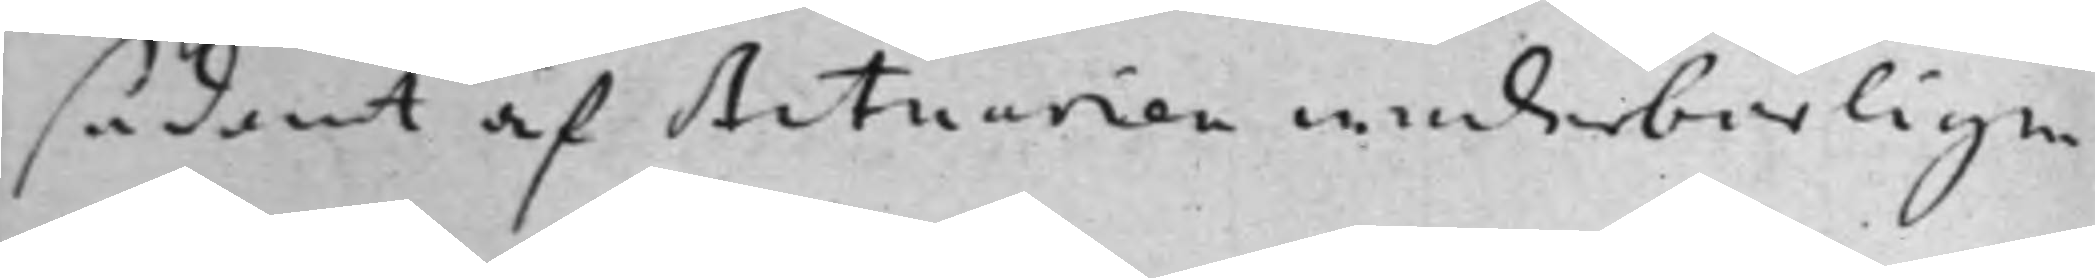sådant af Actuarien wederbörligen
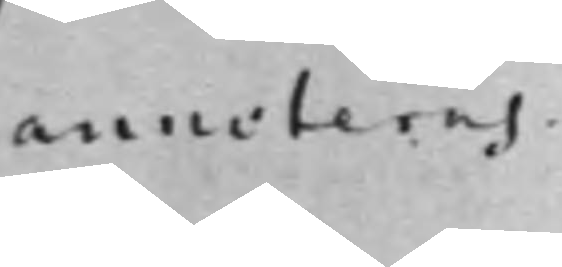annoteras.
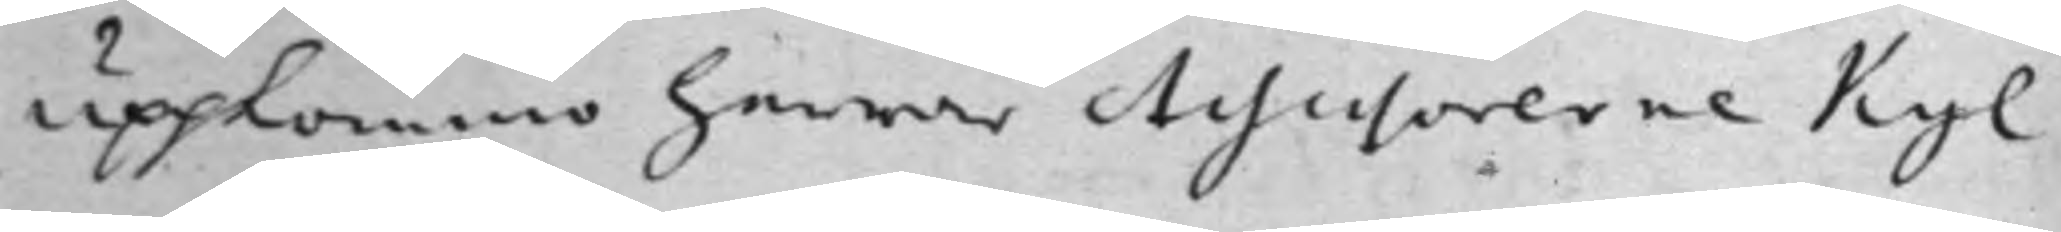uppkommo herrar Assessorerne Kyl
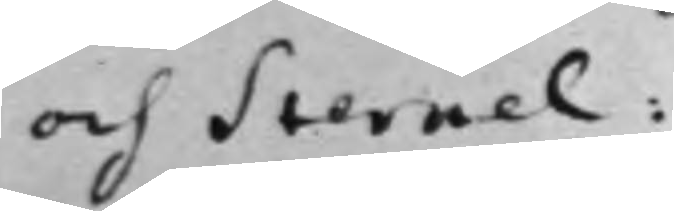och Sternel.
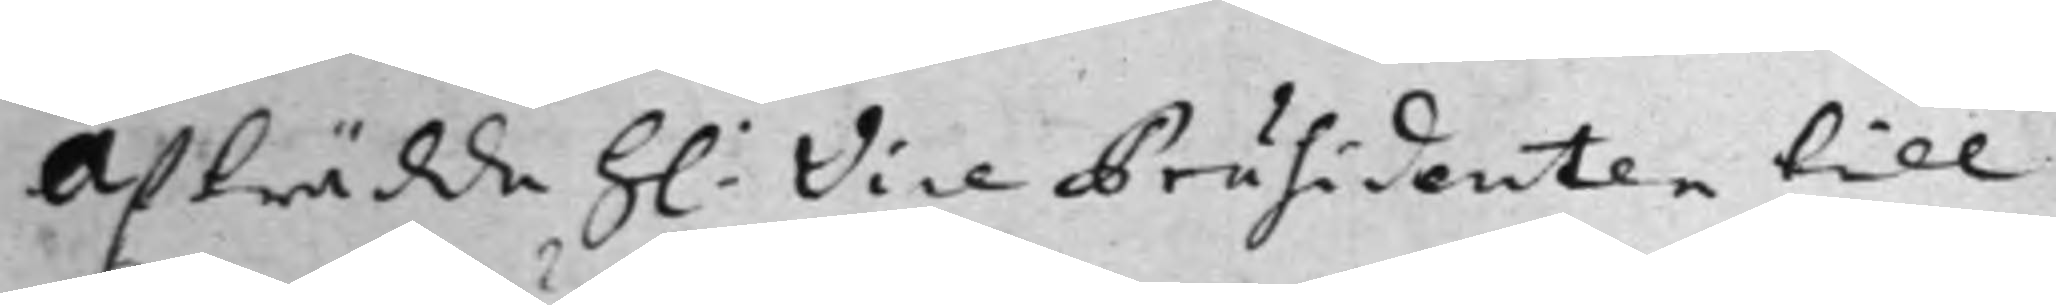Afträdde h: Vice Präsidenten till
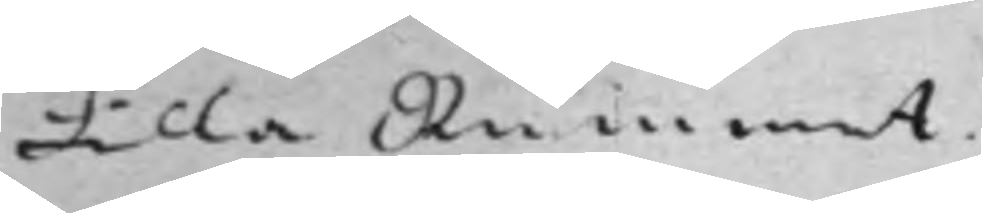Lilla Rummet.
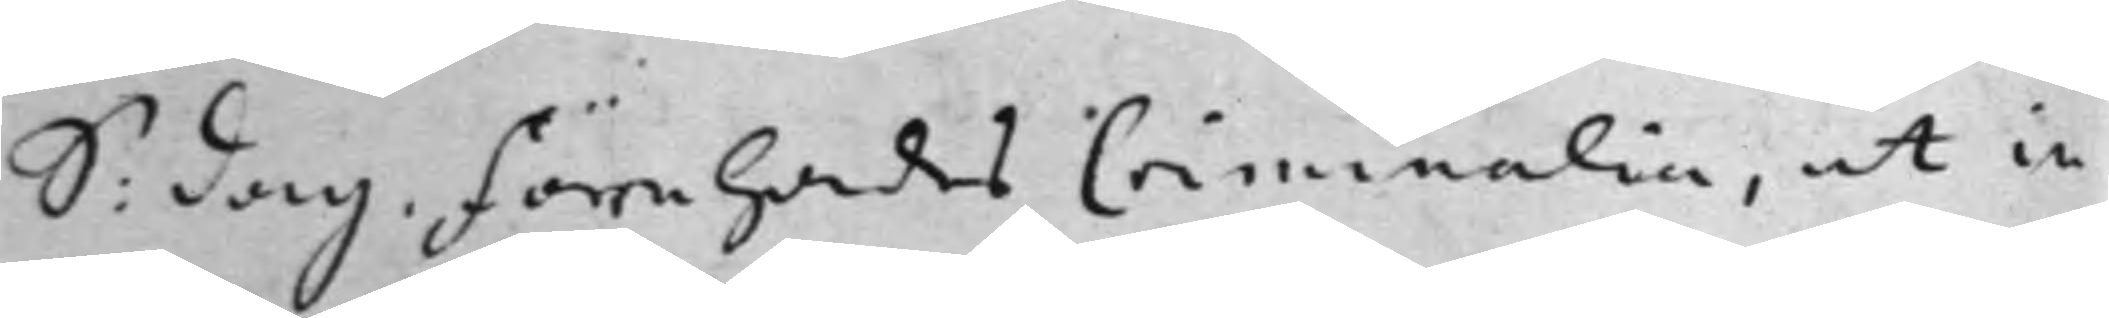S: dag. Förehades Criminalia, ut in
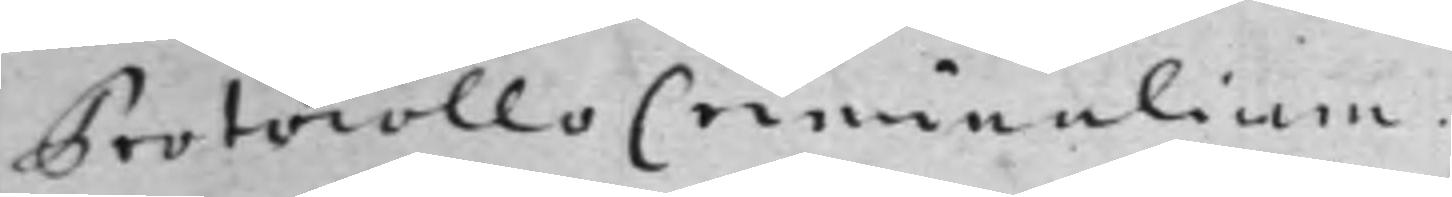Protocollo Criminalium.
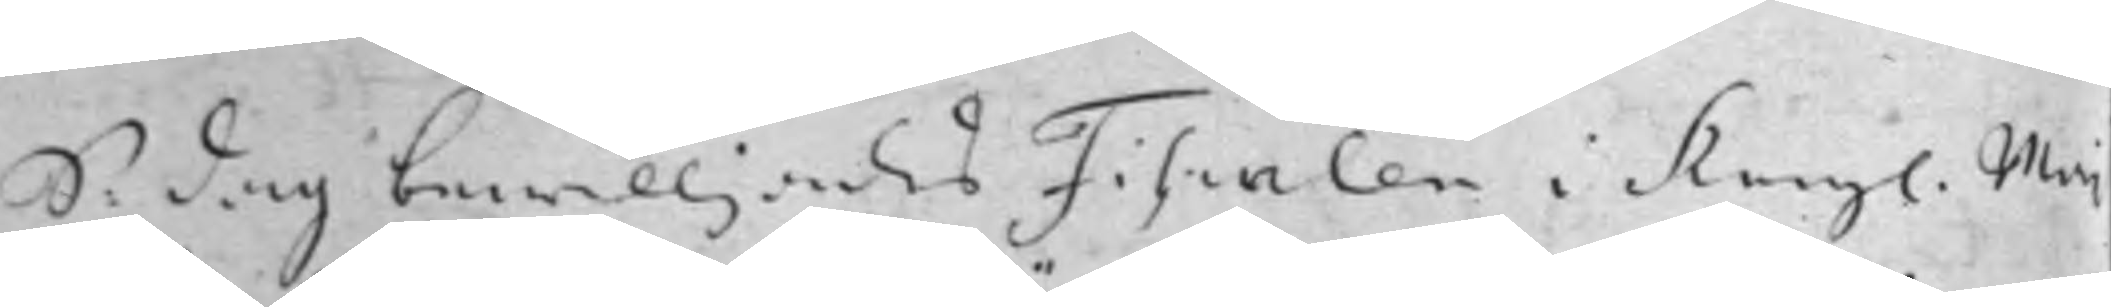S: dag bewilljades Fiscalen i Kongl. Maj
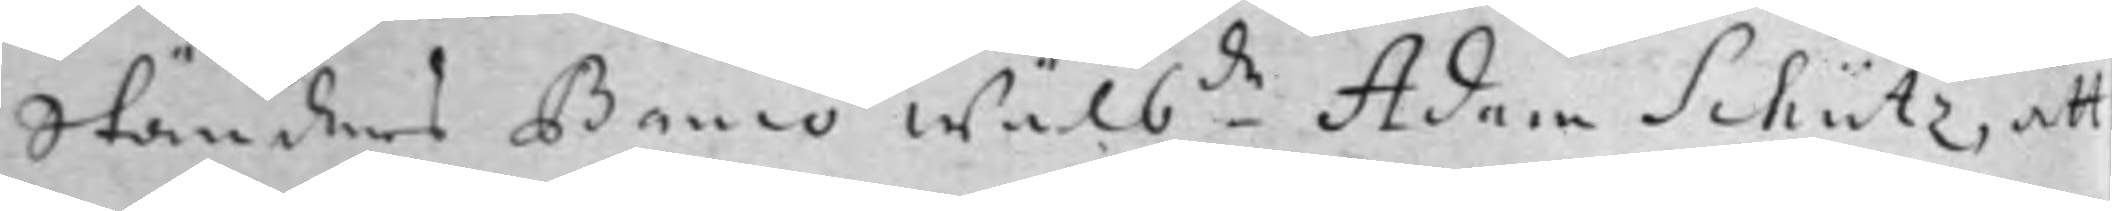Ständers Banco Wälb.de Adam Schütz, att
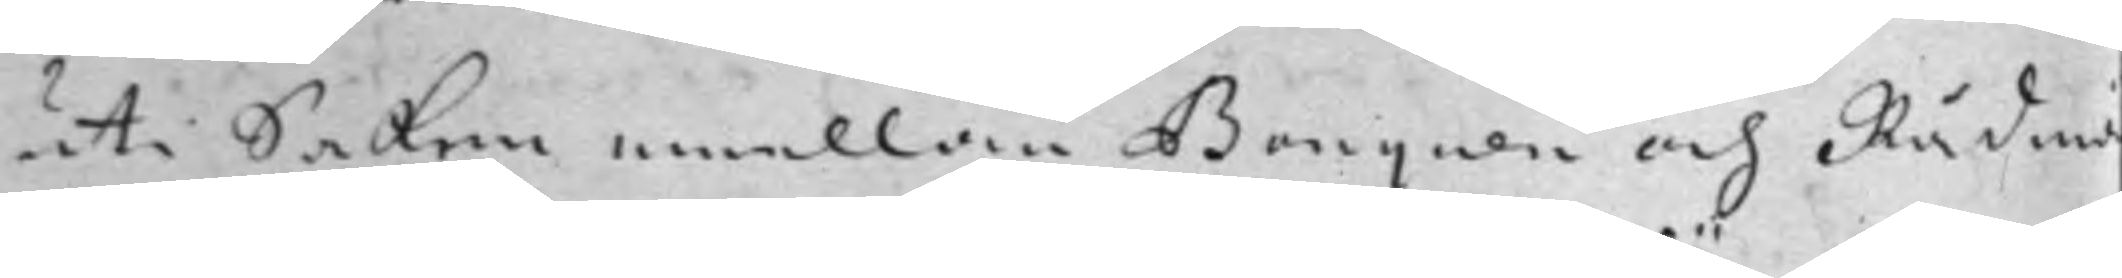uti Saken emellan Banquen och Rådmä
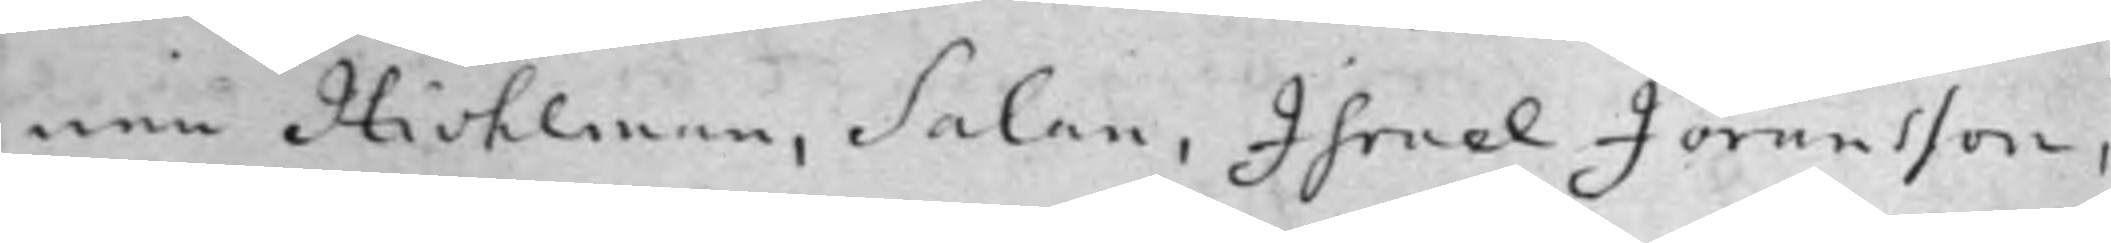nen Hiohlman, Salan, Israel Jöransson,
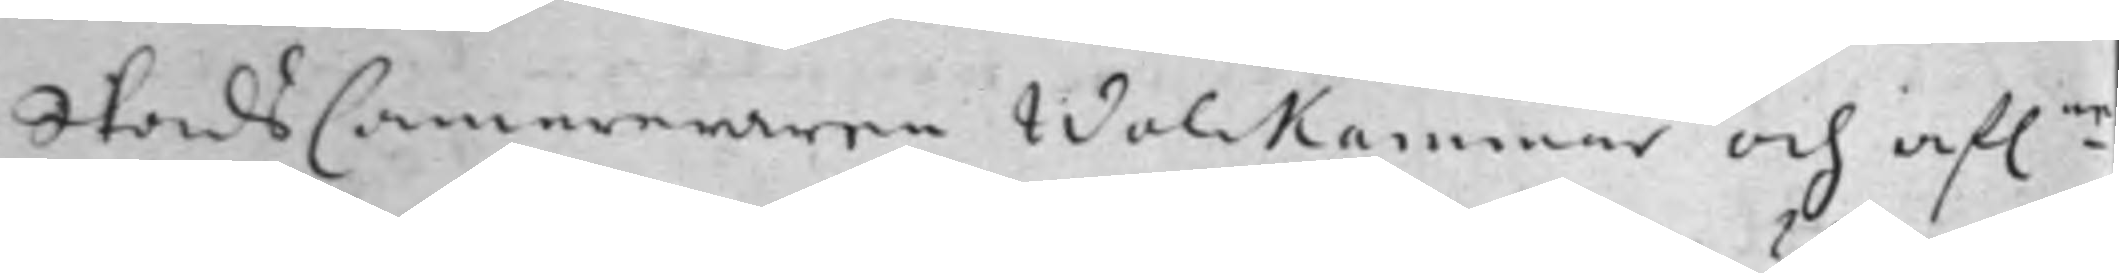StadsCammereraren Wolckammer och af:ne
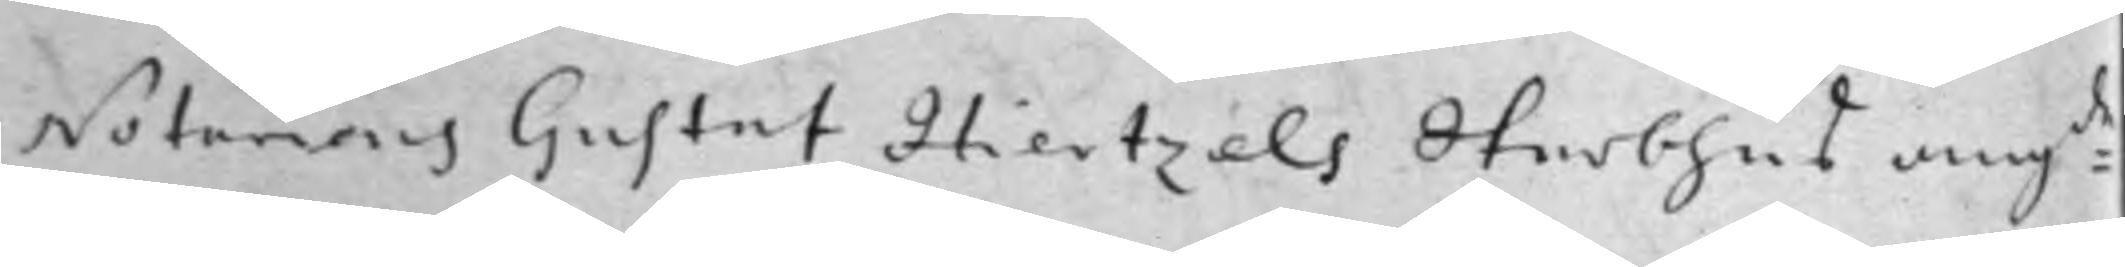Notarius Gustaf Hiertzels Sterbhus ang:de
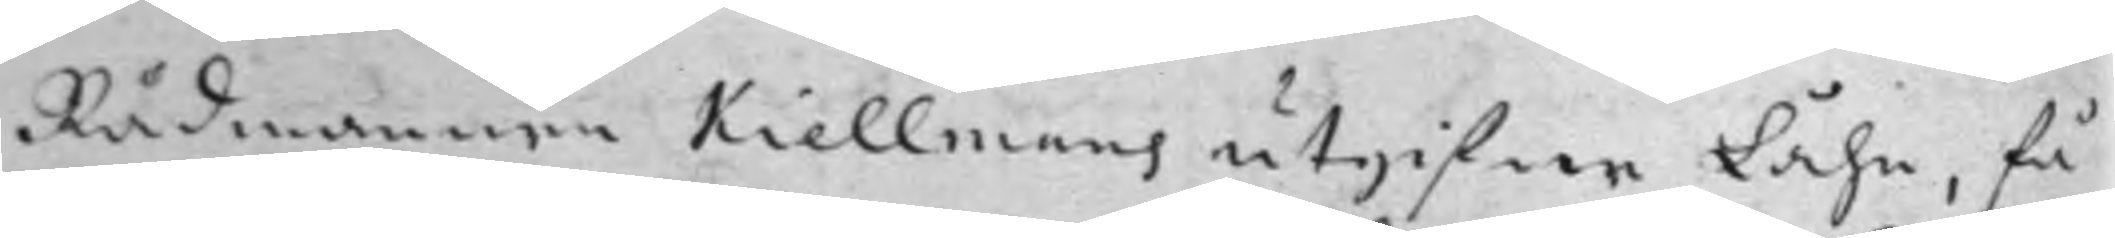Rådmannen Kiellmans utgifne Låhn, få
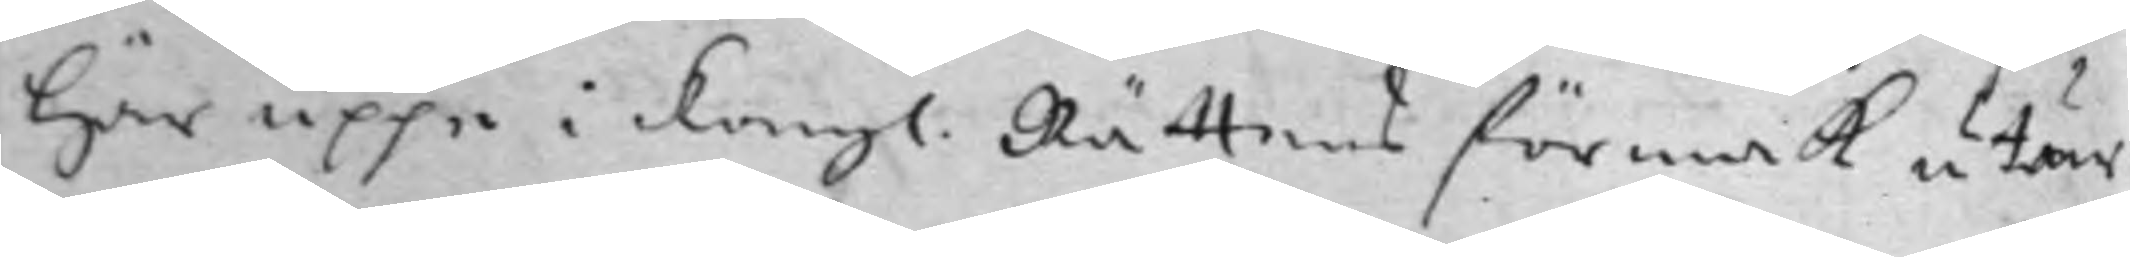Här uppe i Kongl. Rättens förmak utur
